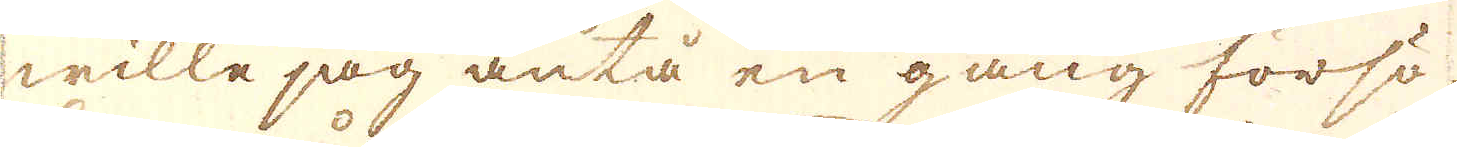wille jag äntå en gång försö-
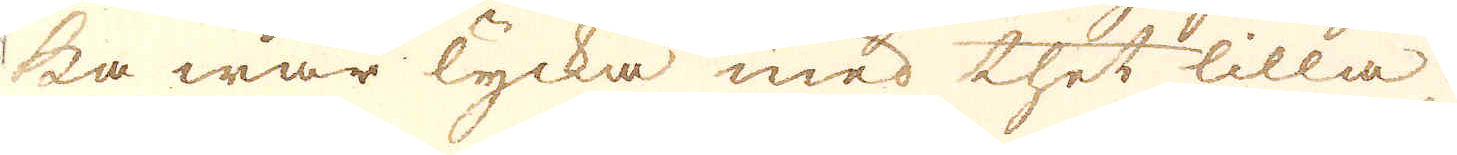ka wår lycka med thet lilla.
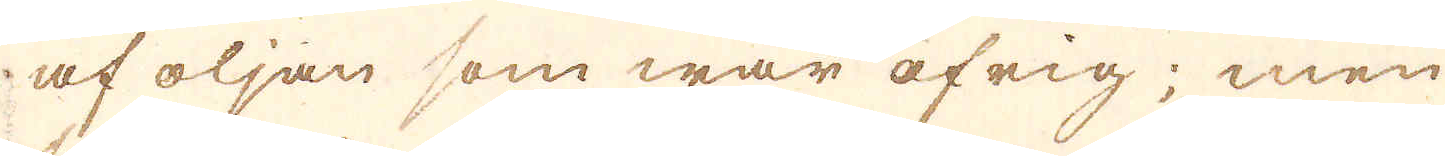af oljan som war öfrig; men
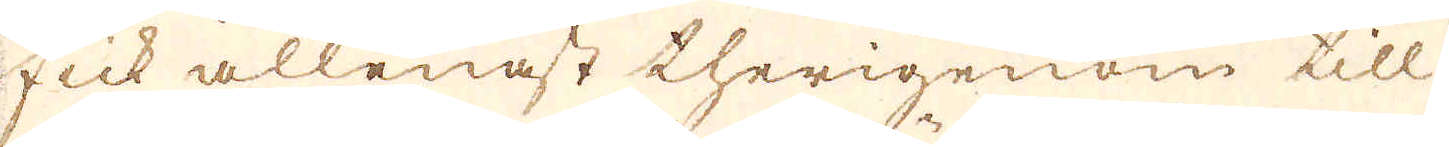fick allenast therigenom till-
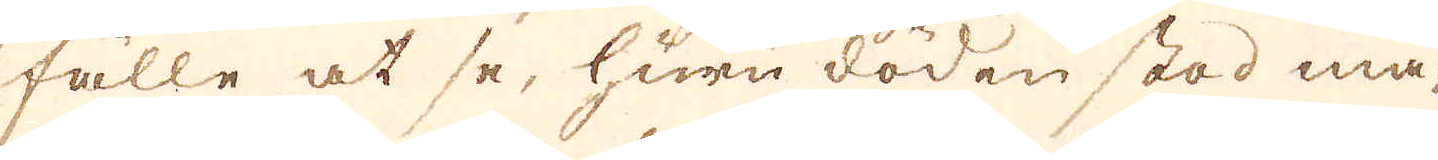fälle at se, huru döden stod må-
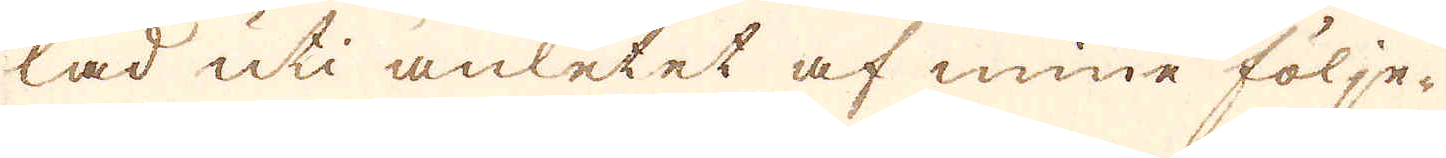lad uti anletet af mine följe-
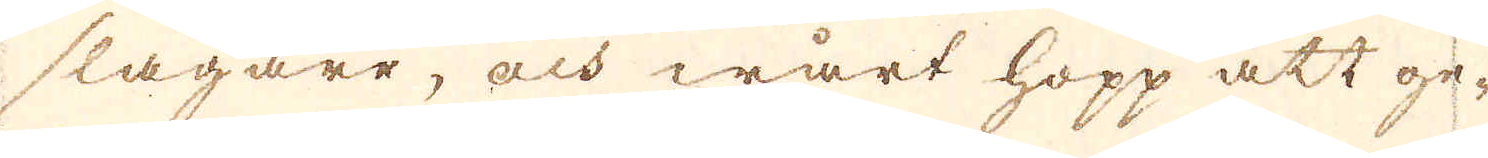slagare, och wårt hopp att ge-
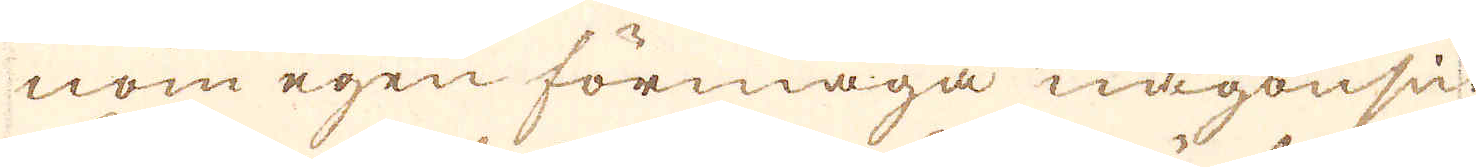nom egen förmåga någonsin
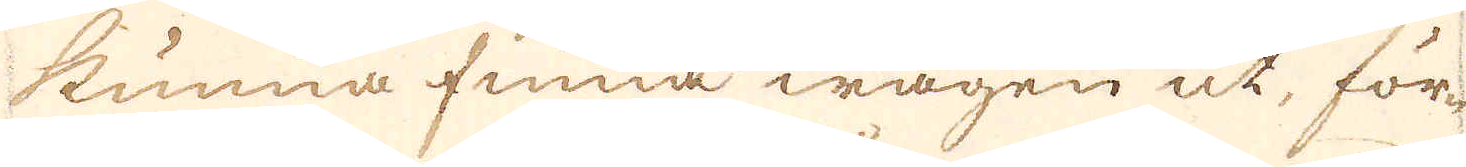kunna finna wägen ut, för-
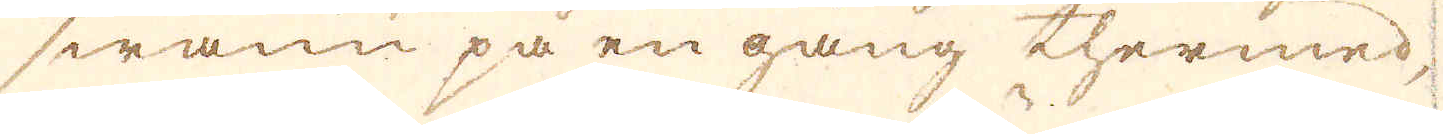swann på en gång thermed,
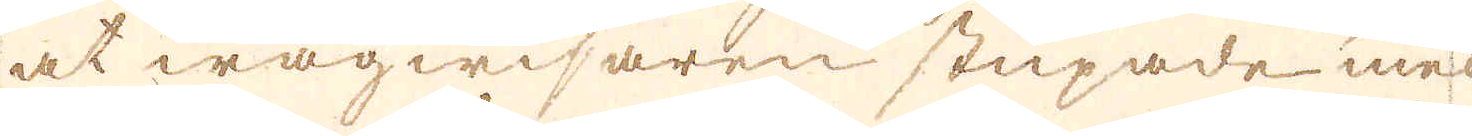at wägwisaren stupade med
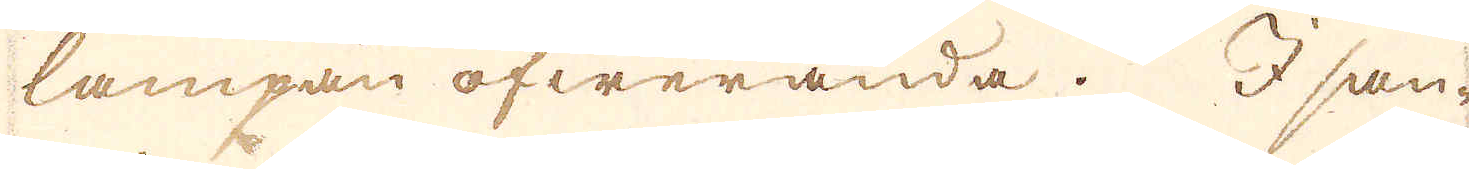lampan öfwerända. I san-
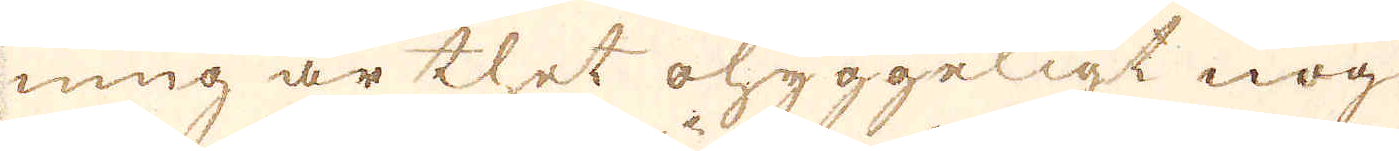ning är thet ohyggeligt nog
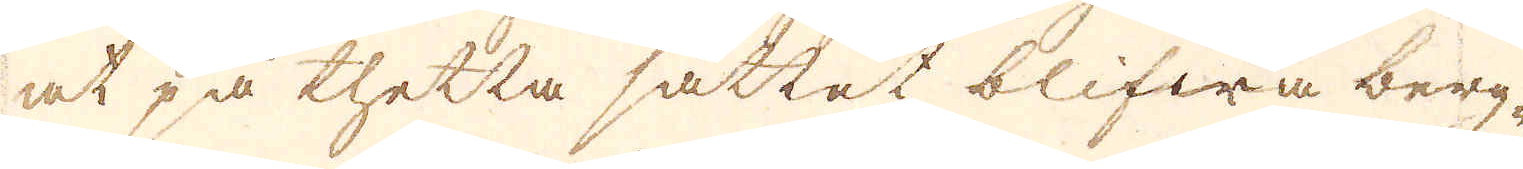at på thetta sättet blifwa berg-
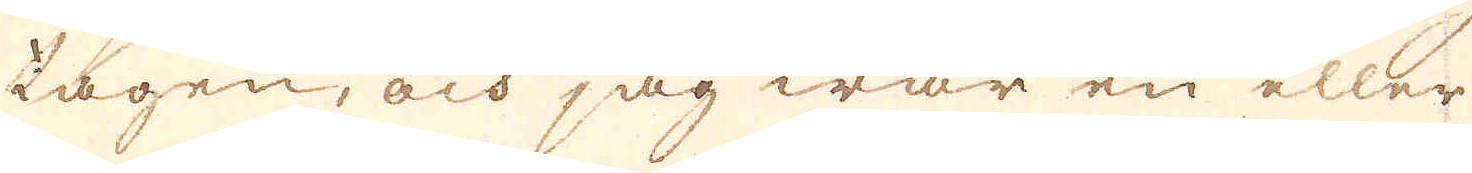tagen, och jag war en eller
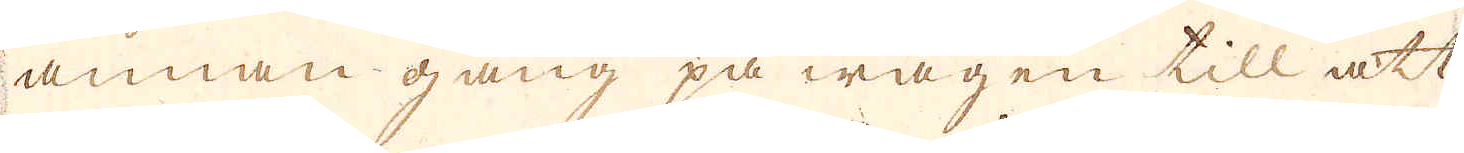annan gång på wägen till att
